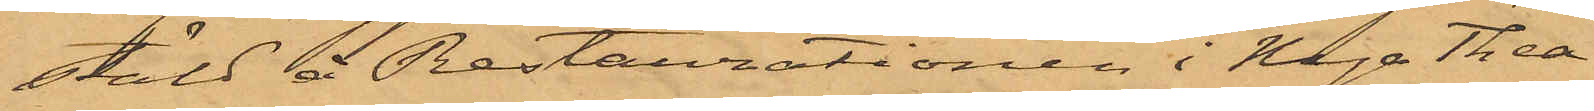stäld å Restaurationen i Nya Thea¬
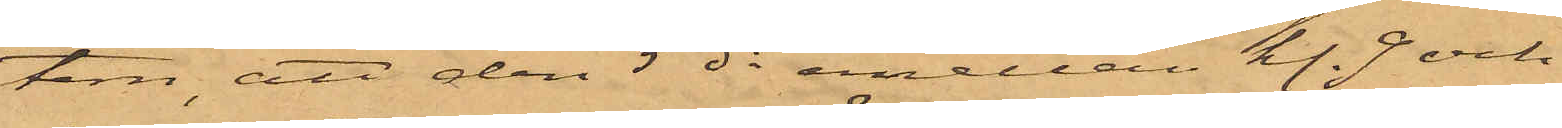tern, att den 5 ds emellan kl. 9 och
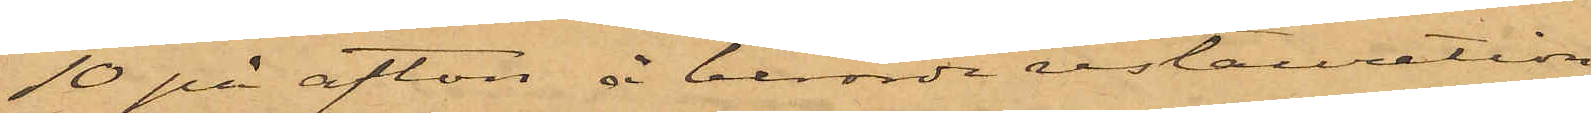10 på afton å berörde restauration
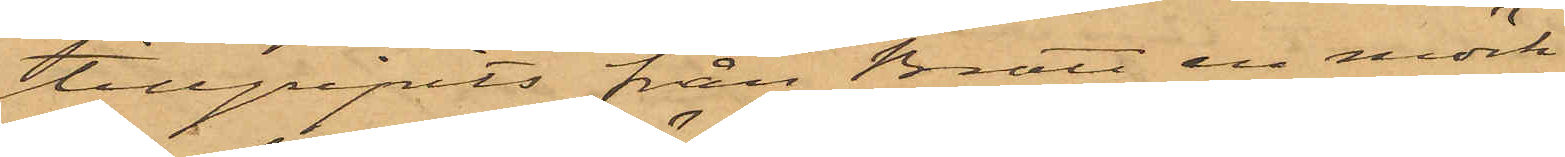tillgripits från Bratt en mörk¬
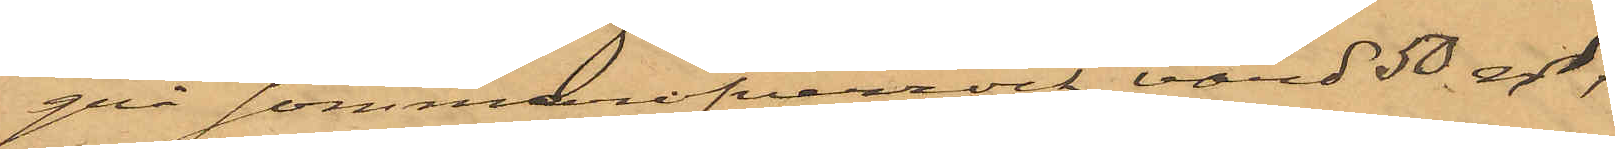grå sommaröfverrock, värd 50 rdr,
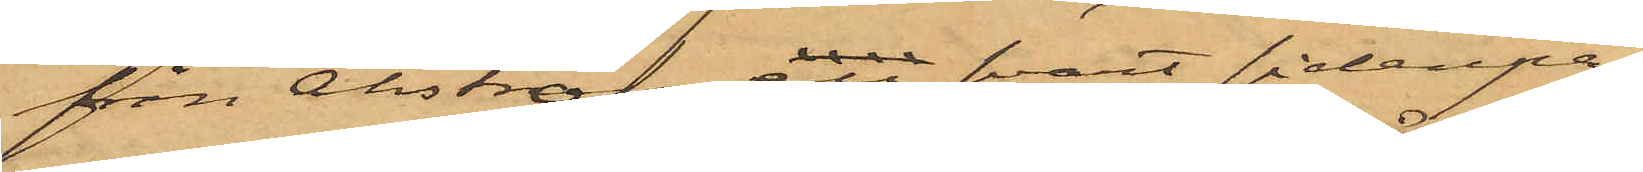från Åhström en svart sidenpa¬
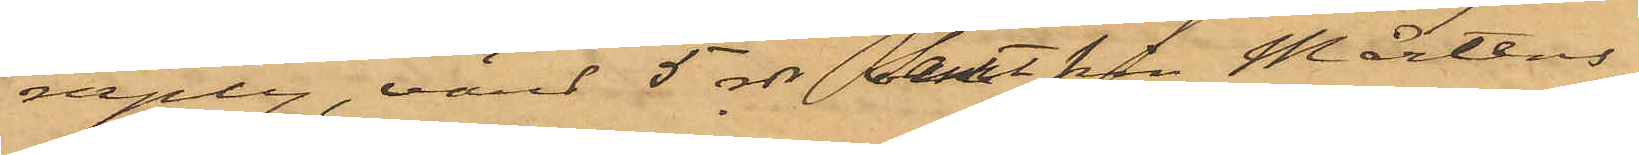raply, värd 5 rdr, samt från Mårtens¬
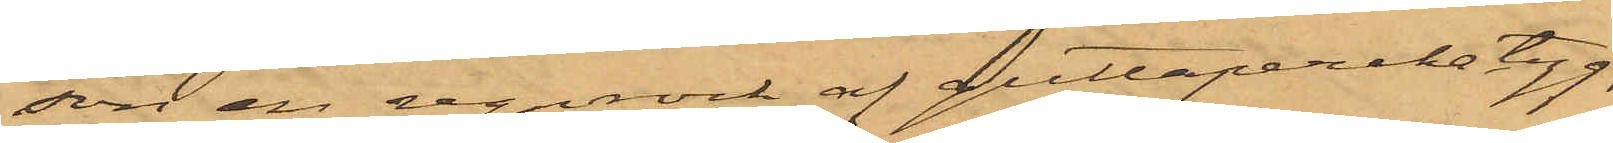son en regnrock af guttaperkatyg,
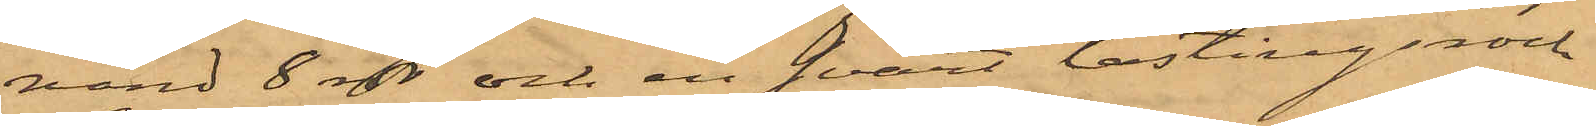vänd 8 rdr och en svart lastingsrock
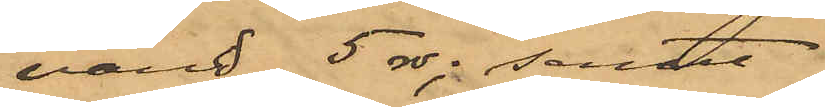värd 5 rdr; samt
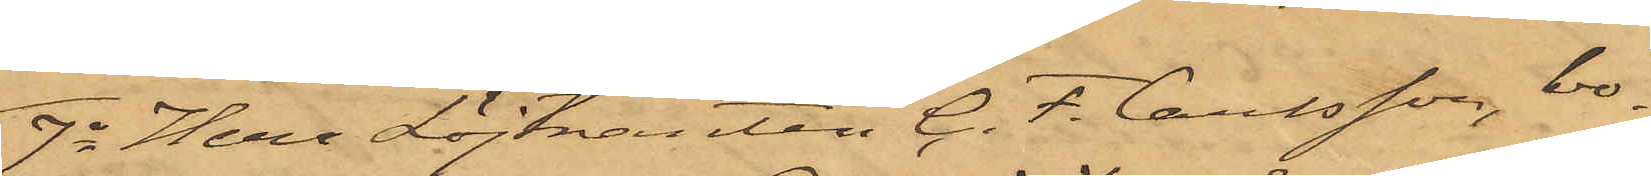7o Herr Löjtnanten G.F. Carlsson, bo¬
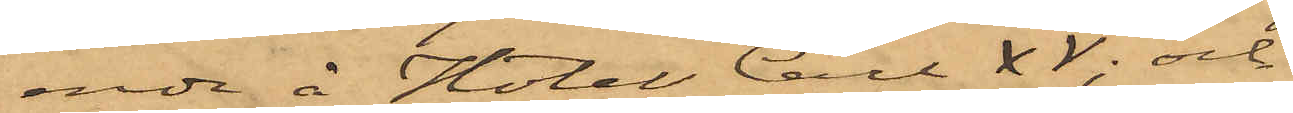ende å Hotel Carl XV; och
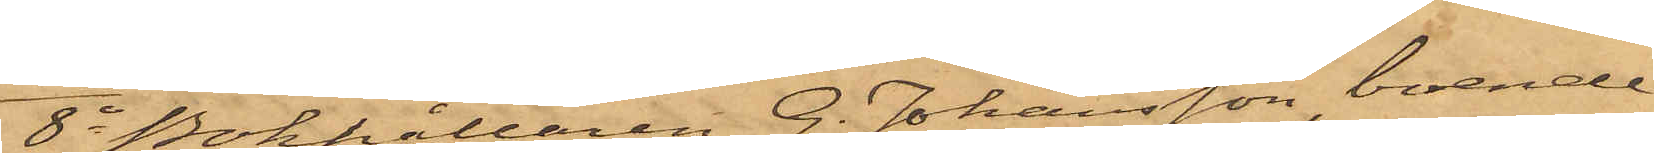8o Bokhållaren G. Johansson, boende
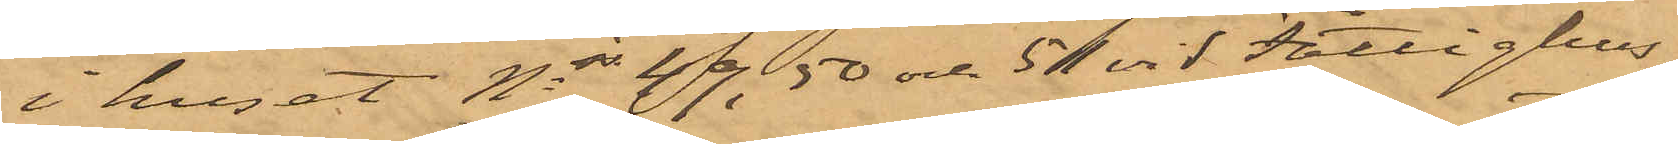i huset Nris 49,50 och 51 vid Fattighus¬
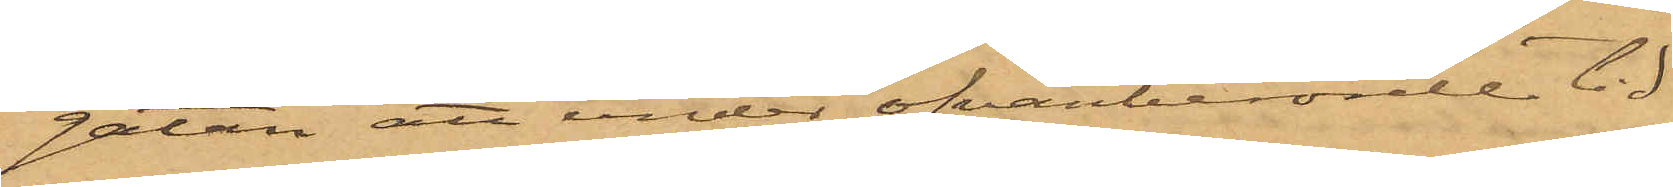gatan att under ofvanberörde tid
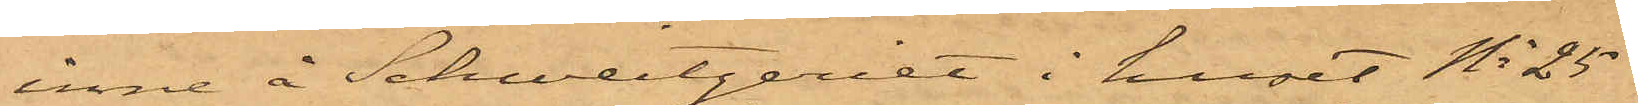inne å Schweizeriet i huset No 25
